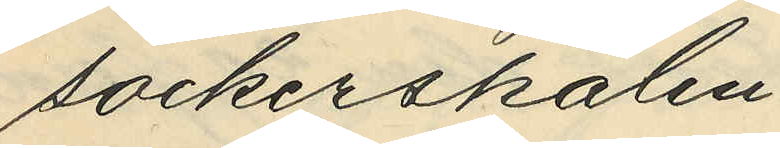sockerskålen.
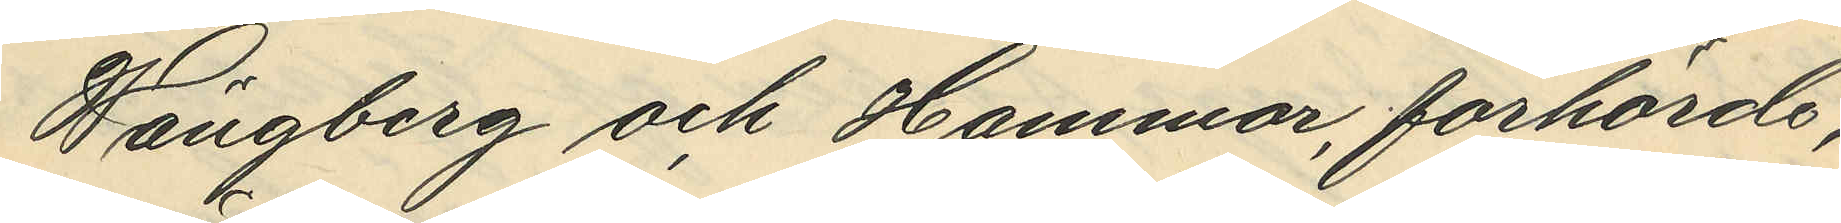Wängberg och Hammar,  förhörde,
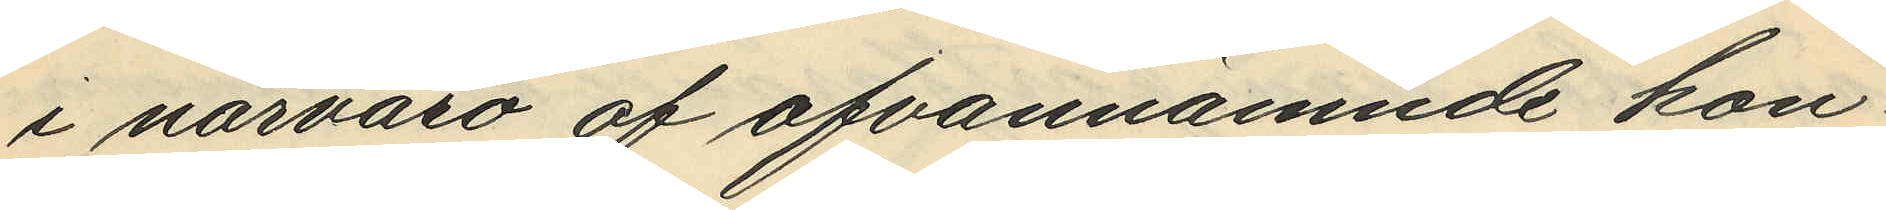i närvaro af ofvannämnde kon¬
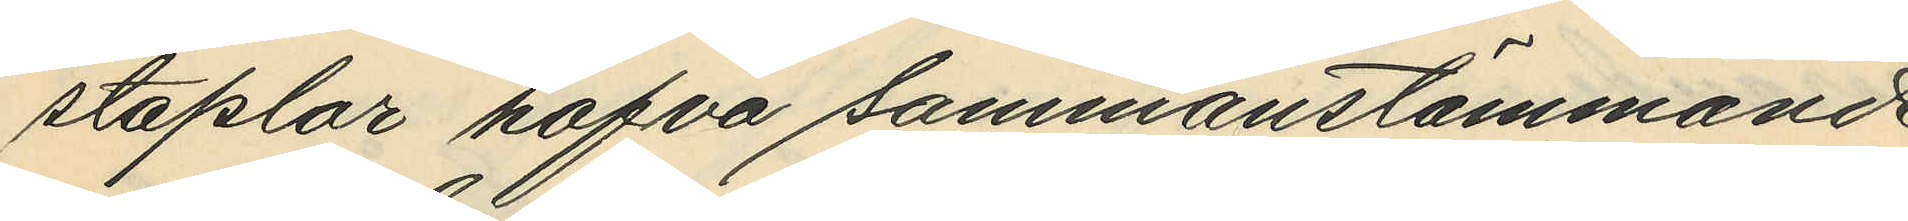staplar hafva sammanstämmande
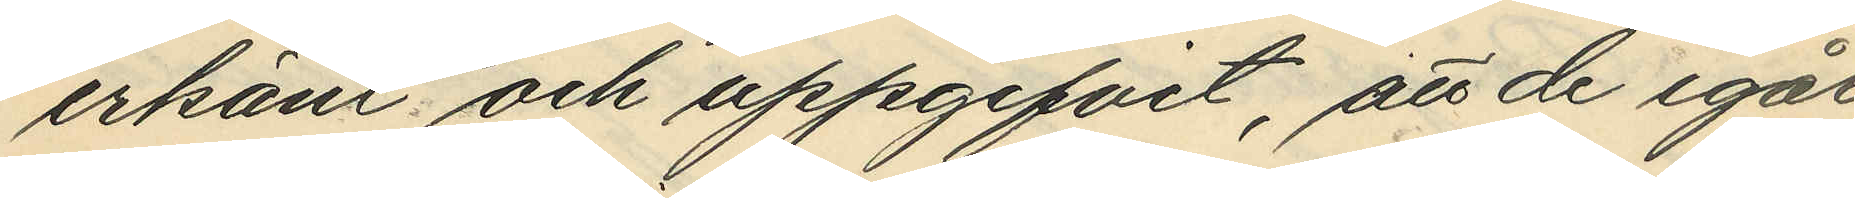erkänt och uppgifvit, att de igår
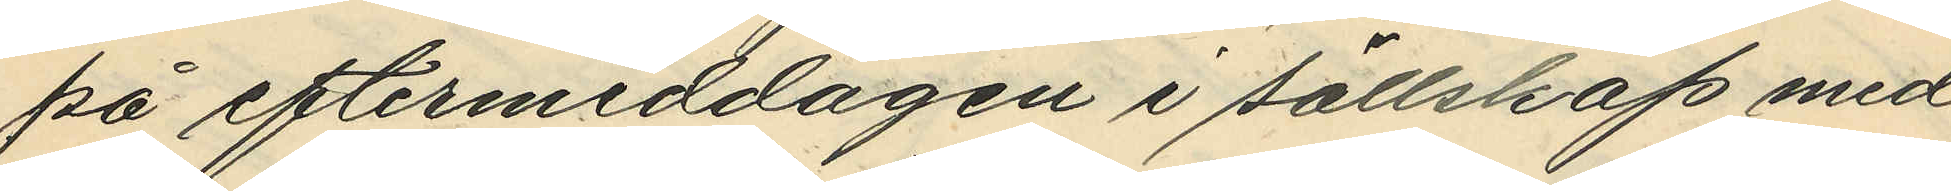på eftermiddagen i sällskap med
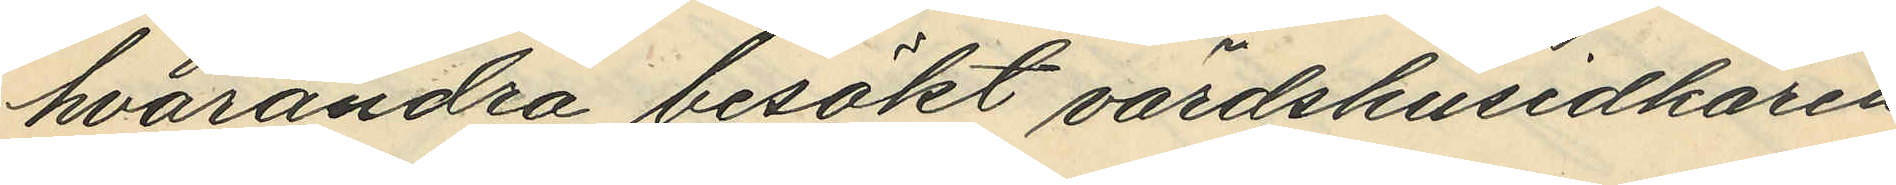hvarandra besökt värdshusidkaren
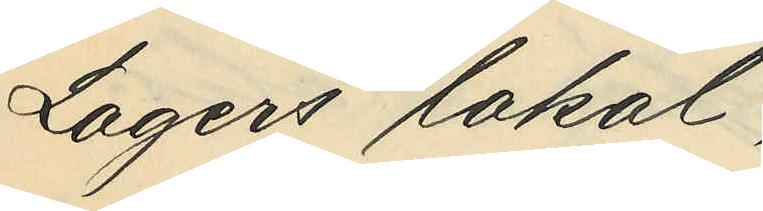Lagers lokal,
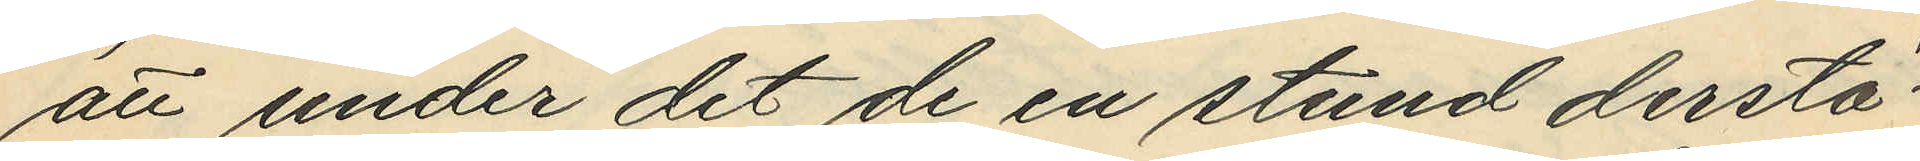att under det de en stund derstä¬
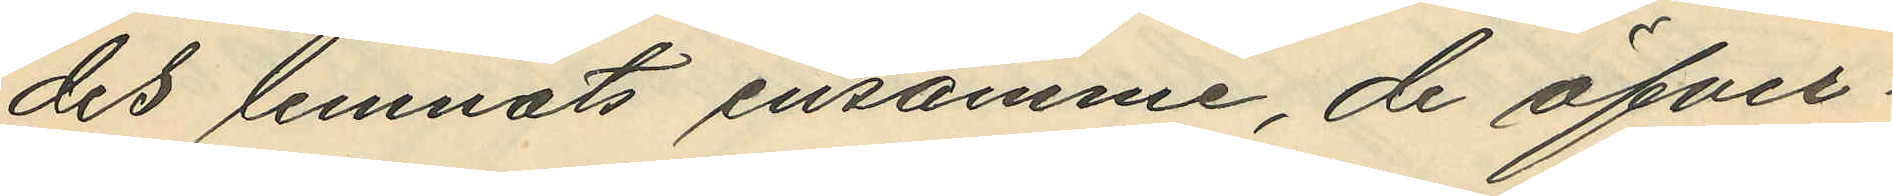des lemnats ensamme, de öfver¬
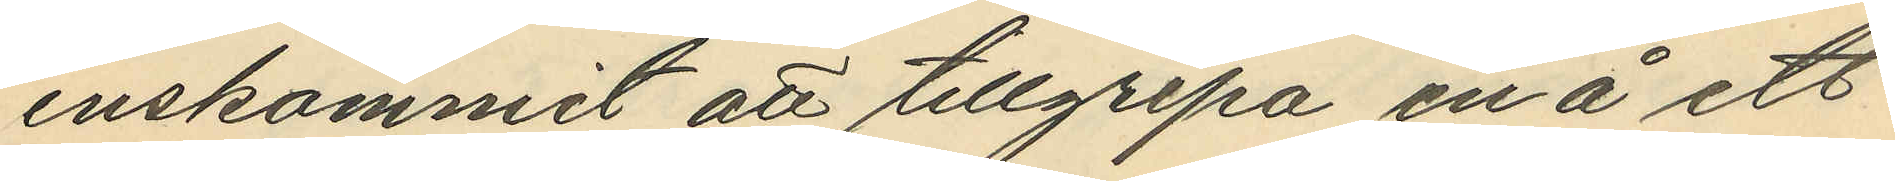enskommit att tillgripa en å ett
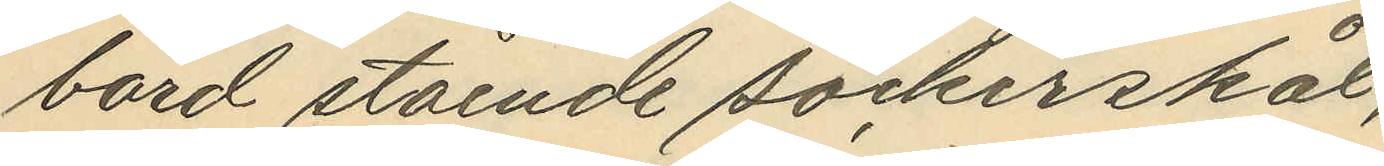bord stående sockerskål,
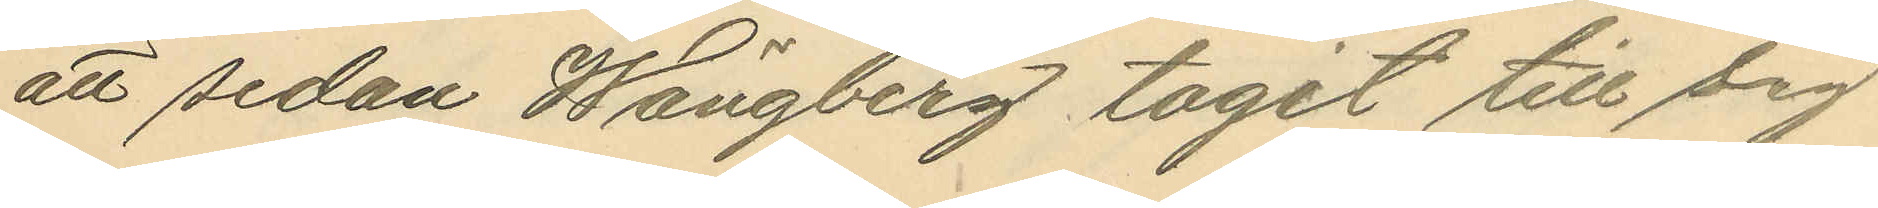att sedan Wängberg tagit till sig
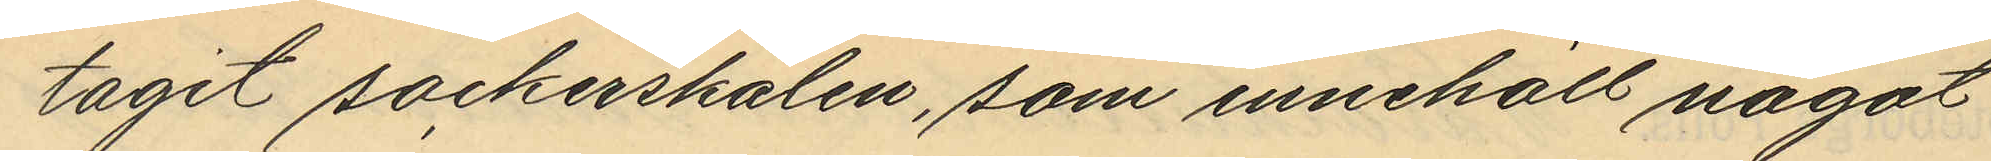tagit sockerskålen, som innehöll något
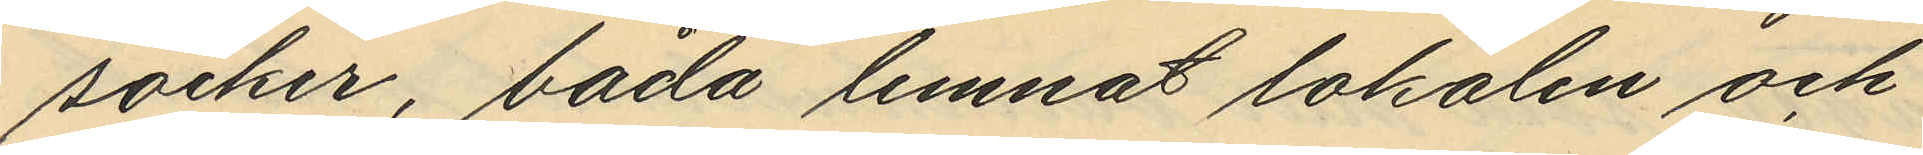socker, båda lemnat lokalen och
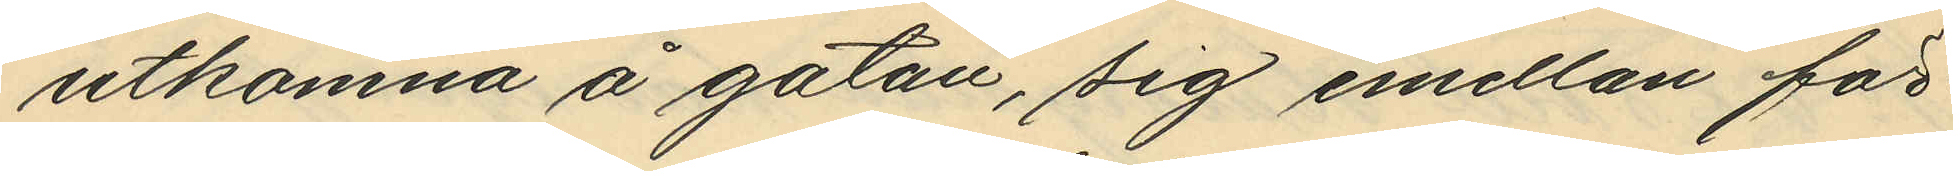utkomna å gatan, sig emellan för¬
